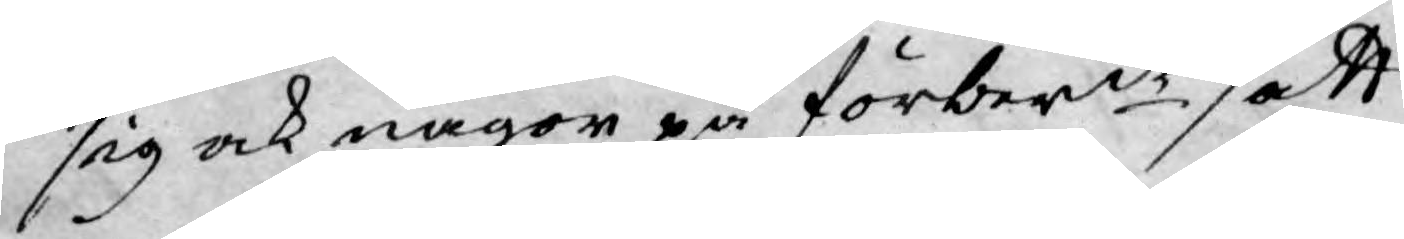sig ock någor på förberde att
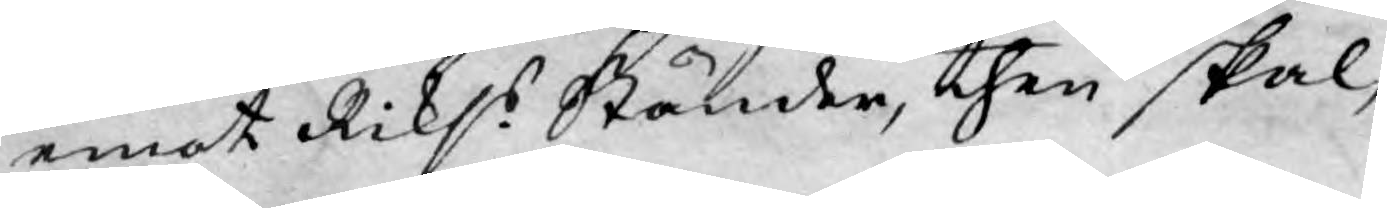emot Rikss Ständer, then skal,
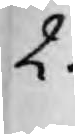2.
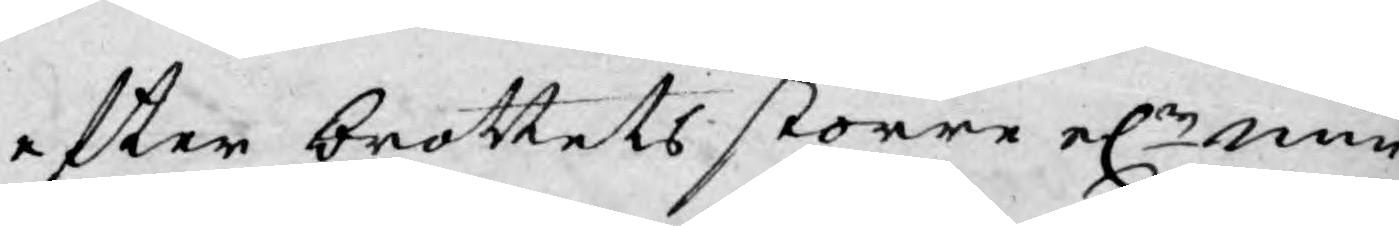efter brottets större el.r min¬
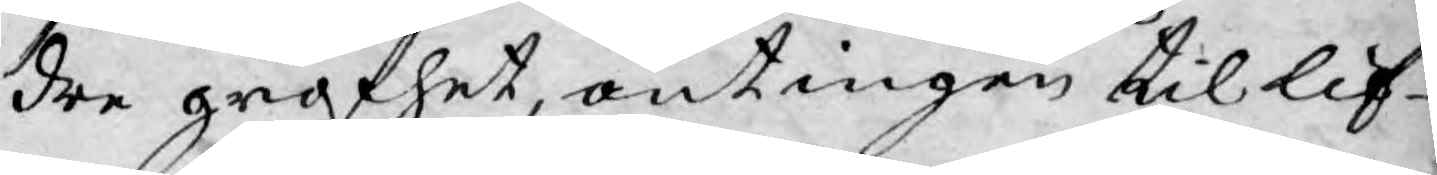dre grofhet, antingen til lif¬
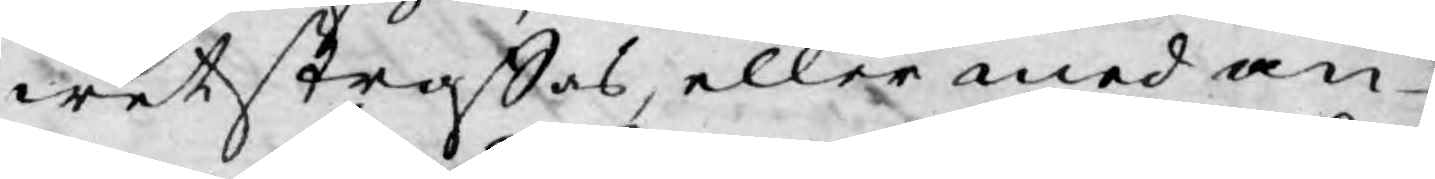wet straffas, eller med an¬
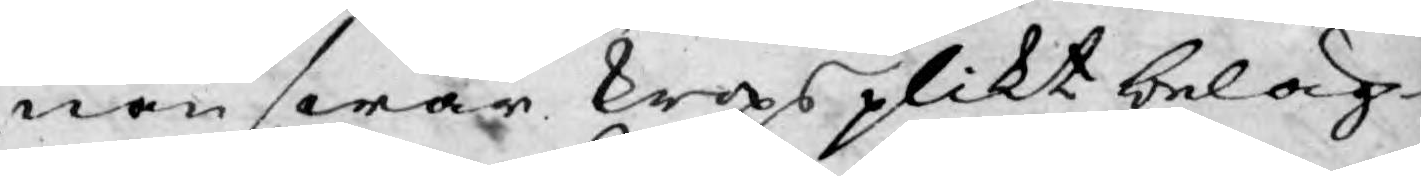nan swår kropsplikt beläg¬
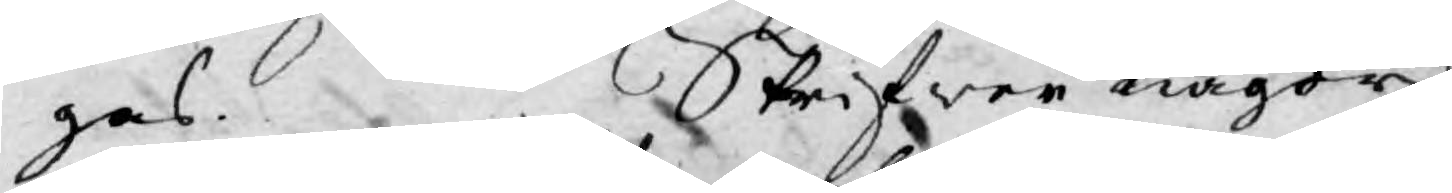gas. Skrifwer någor
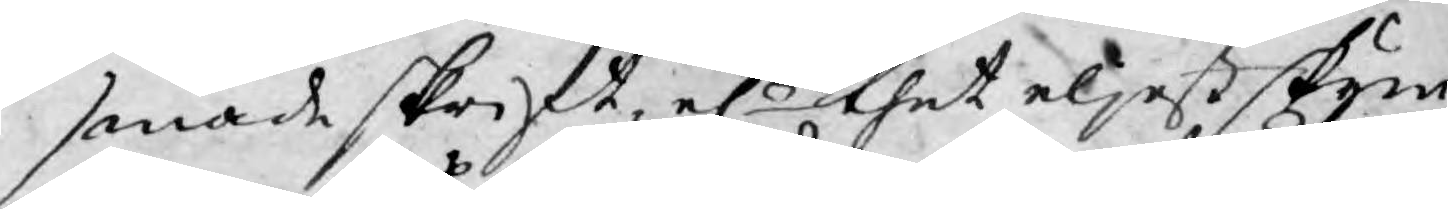sonade skrift, elr thet eljest skym¬
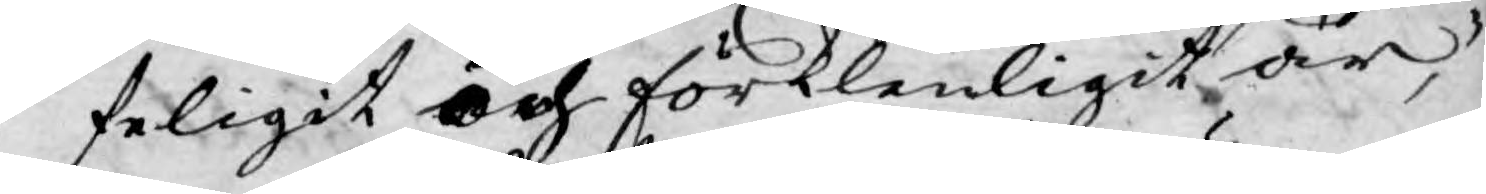feligit och förklenligit är,
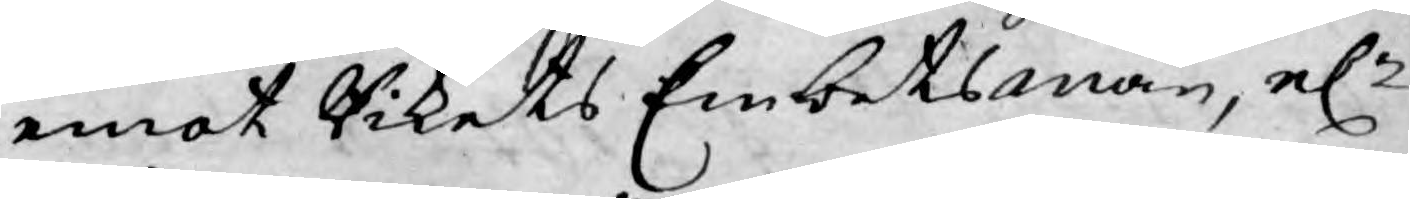emot Rikets Embetsmän, elr
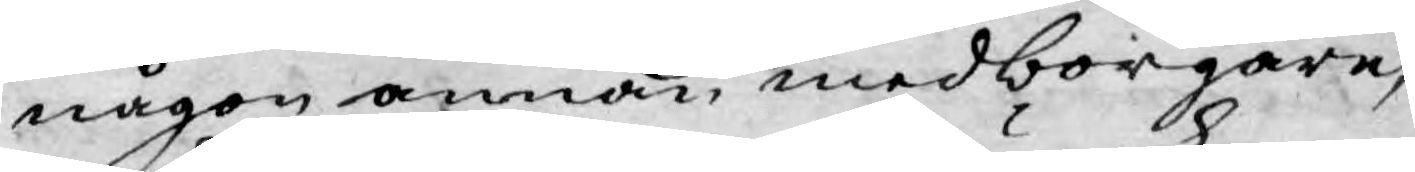någon annan medborgare,
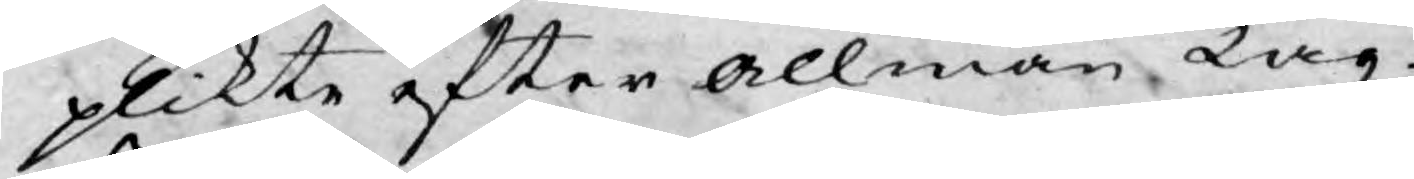plikte efter allmän Lag.
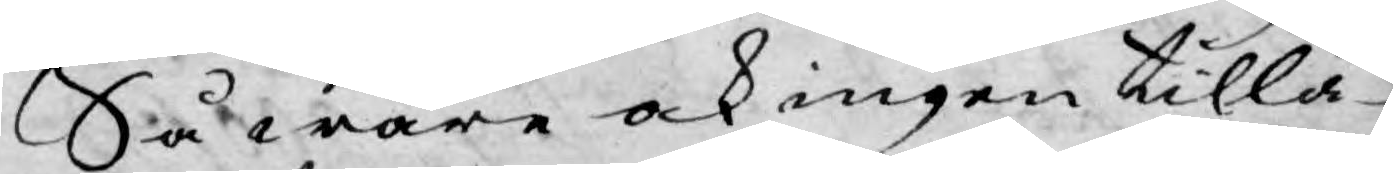Så ware ock ingen tillå¬
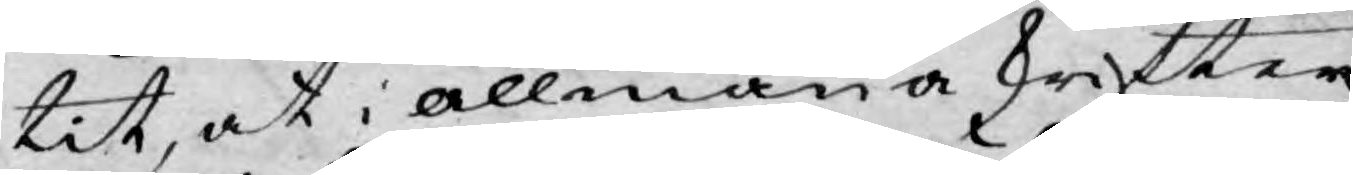tit, at i allmäna skrifter
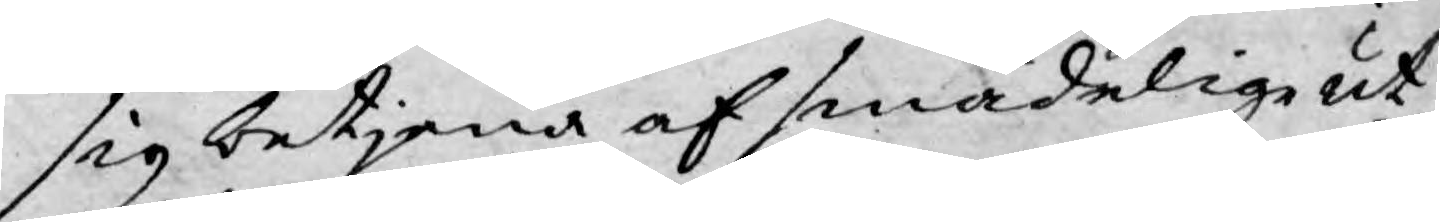sig betjena af smädelige ut¬
